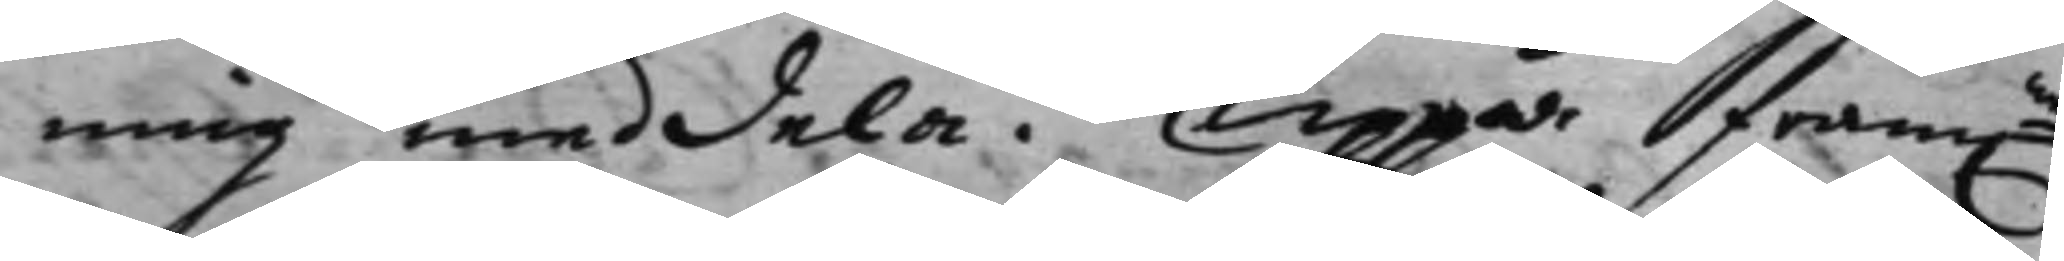ning meddela. Uppå fram.ne 
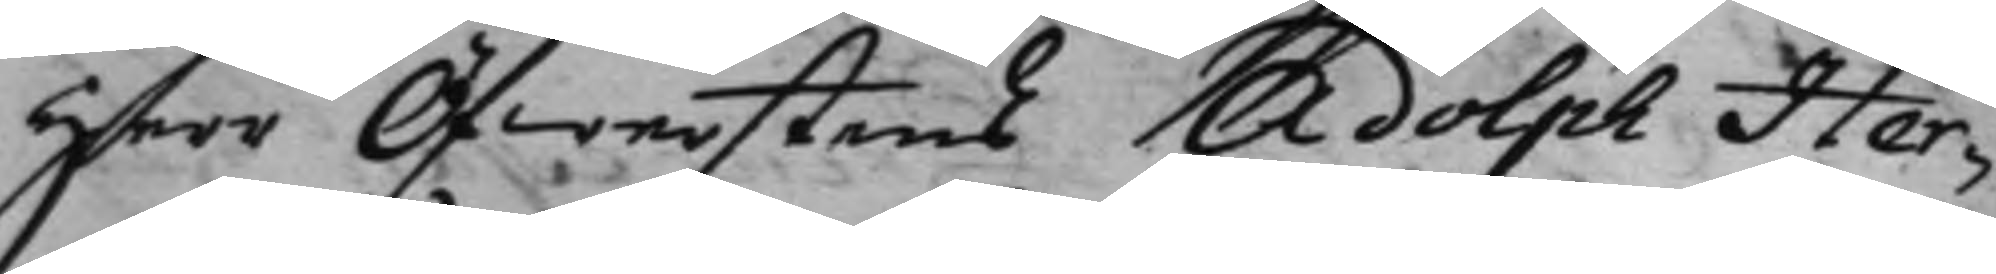Herr Öfwerstens Adolph Her¬
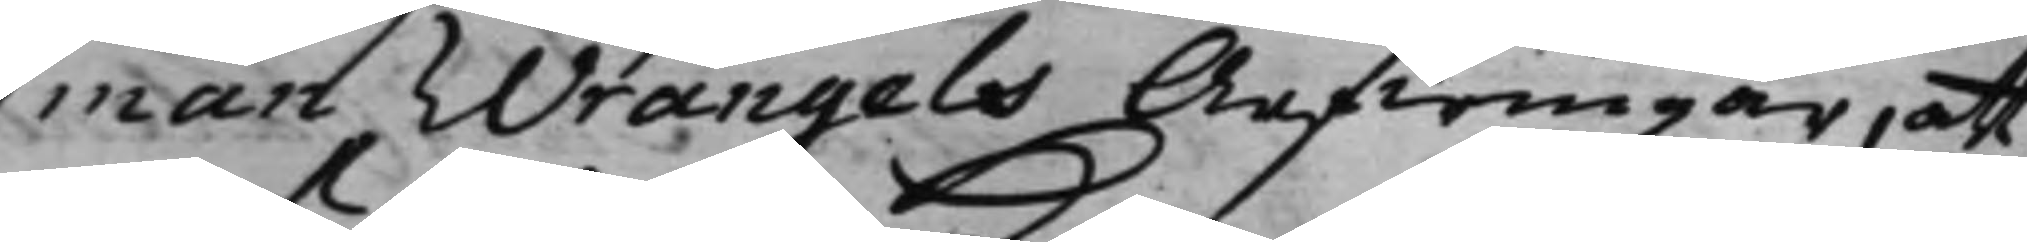man Wrangels Arfwingar, att
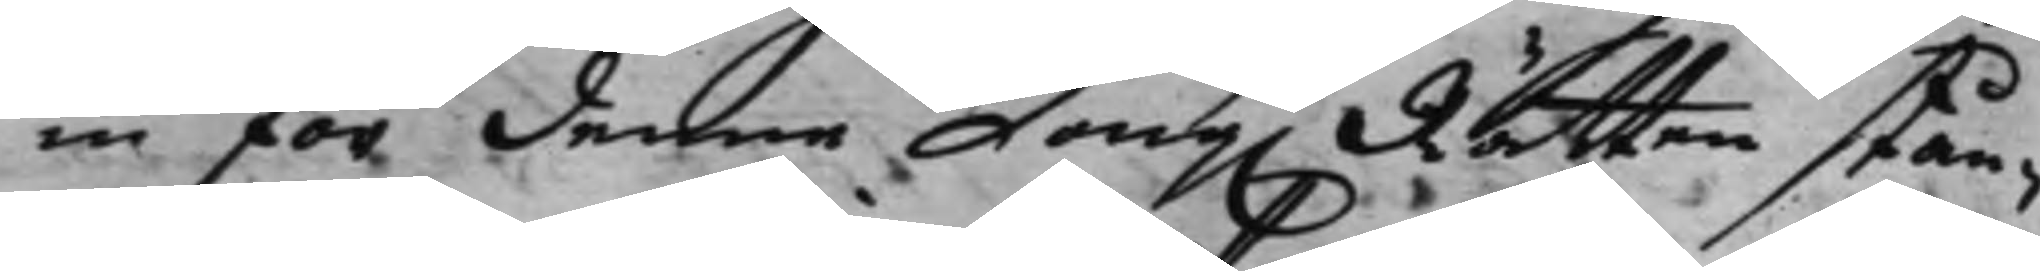in för denne Kong. Rätten stån¬ 
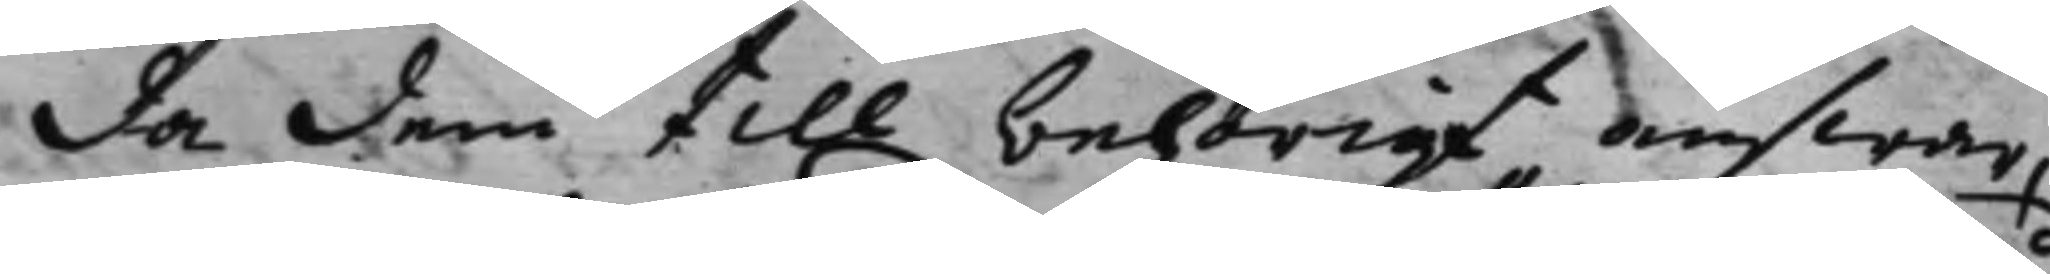da dem till behörigt answar,
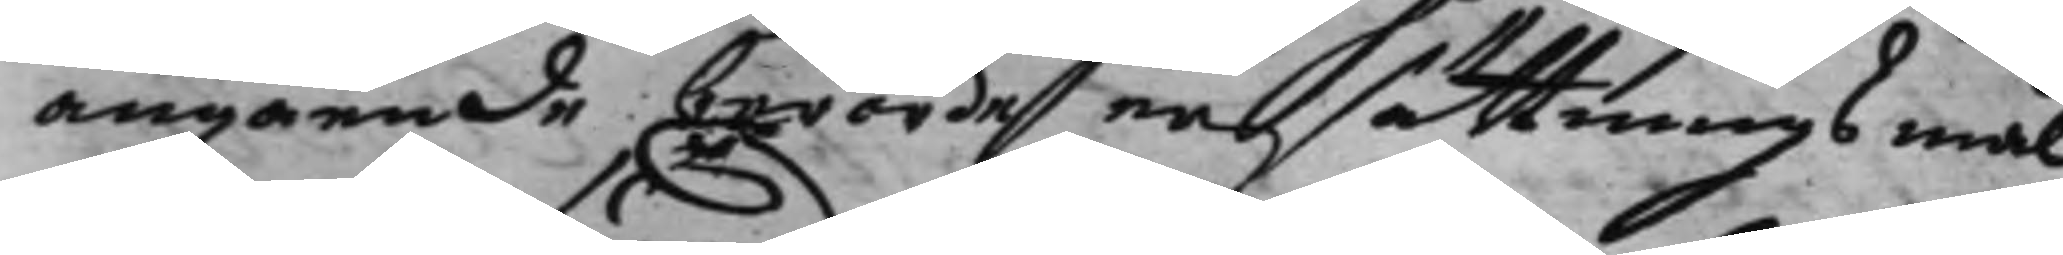angående berörde ersättningsmål
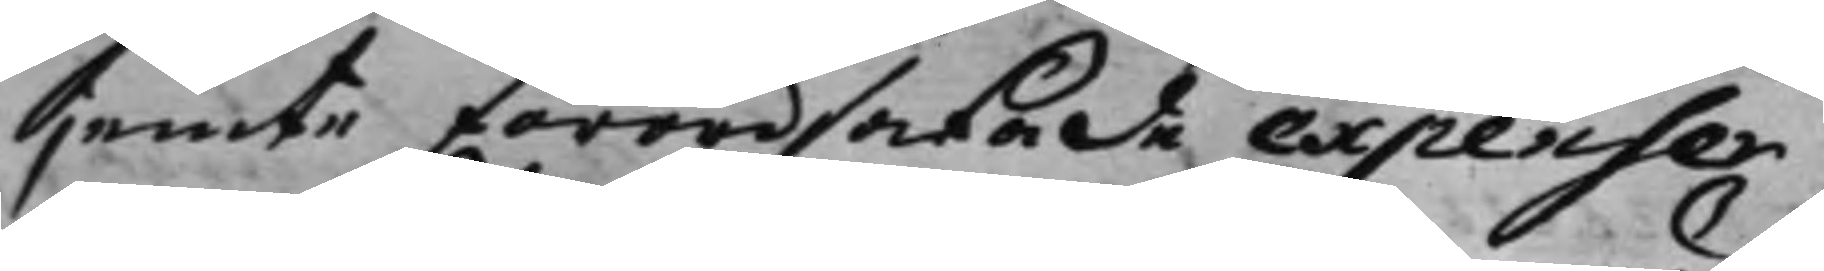jemte förordsakade expenser,
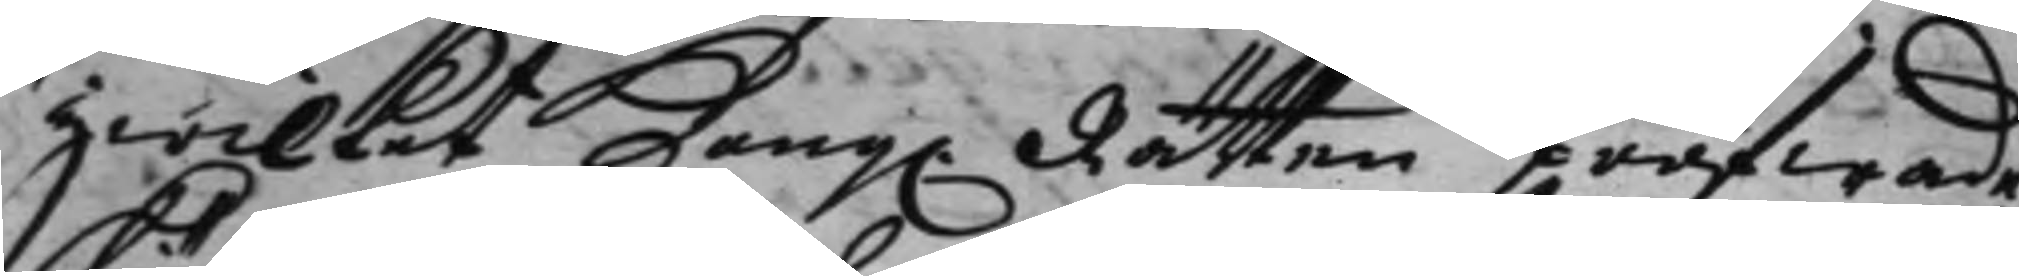hwilket Kong. Rätten pröfwade 
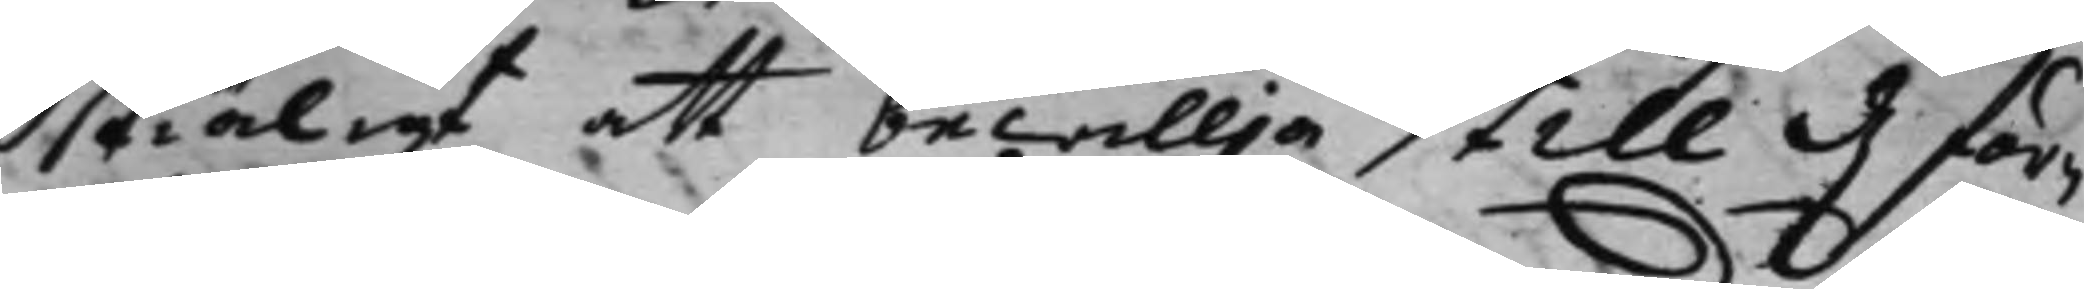skiäligt att bewillja till d. för¬
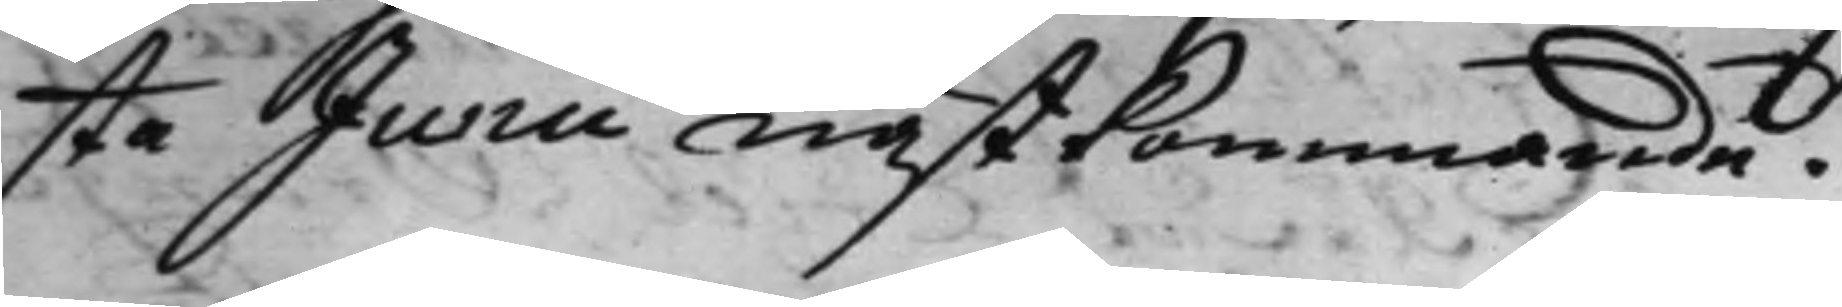sta Jurii nästkommande.
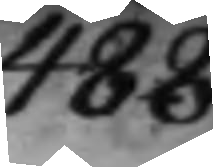488.
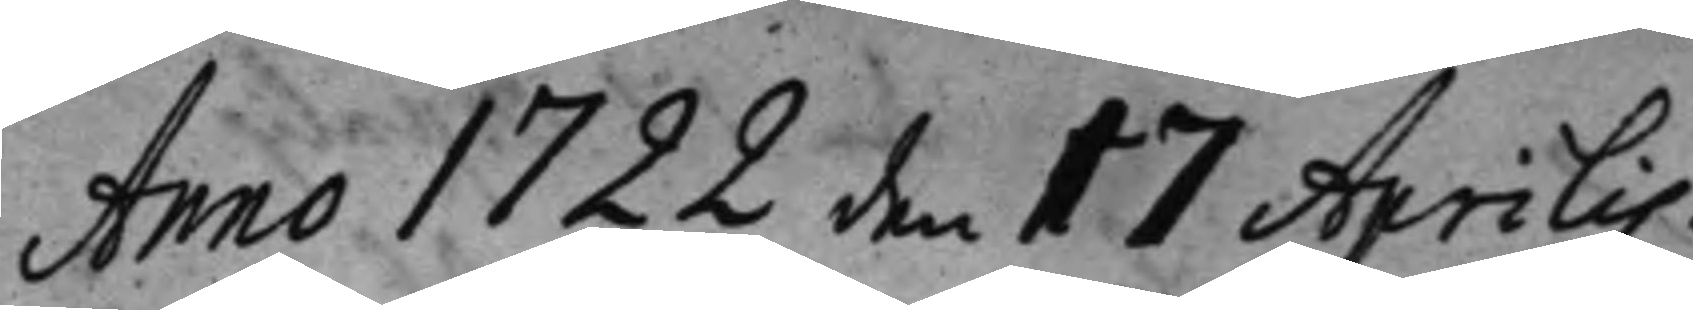Anno 1722 den 17 Aprilis
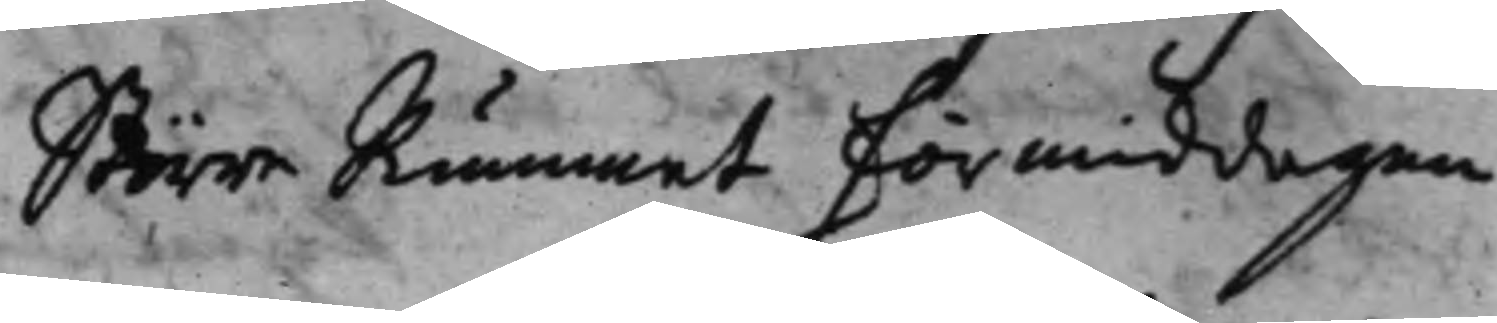Större Rummet förmiddagen.
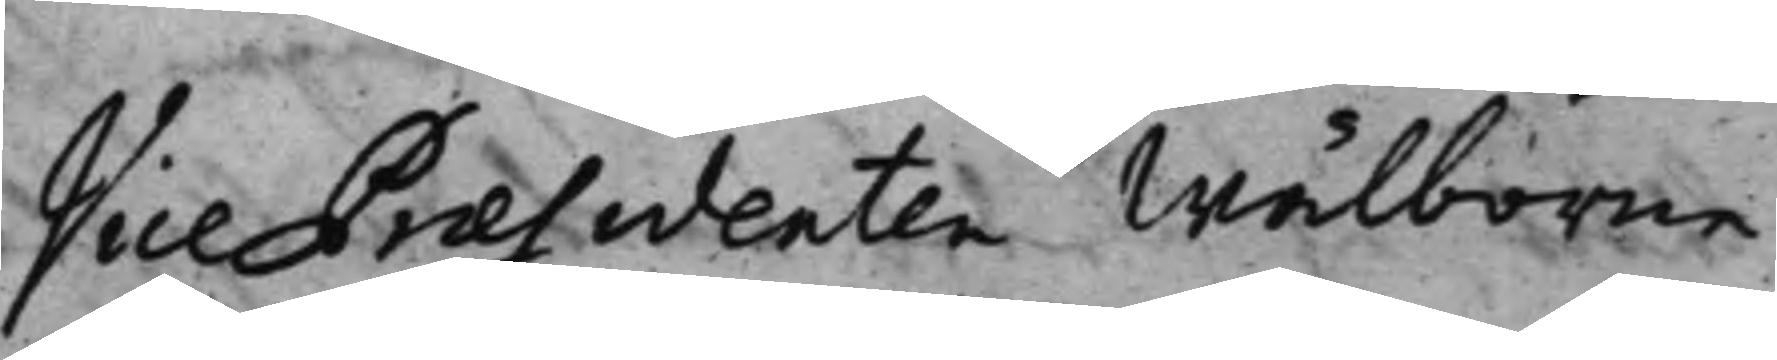Vice Præsidenten Wälborne
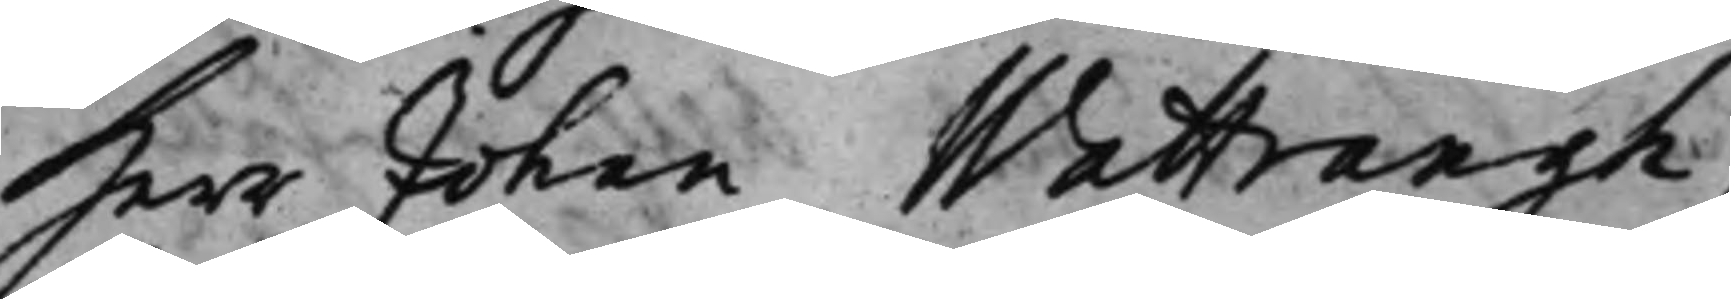Herr Johan Wattrangh.
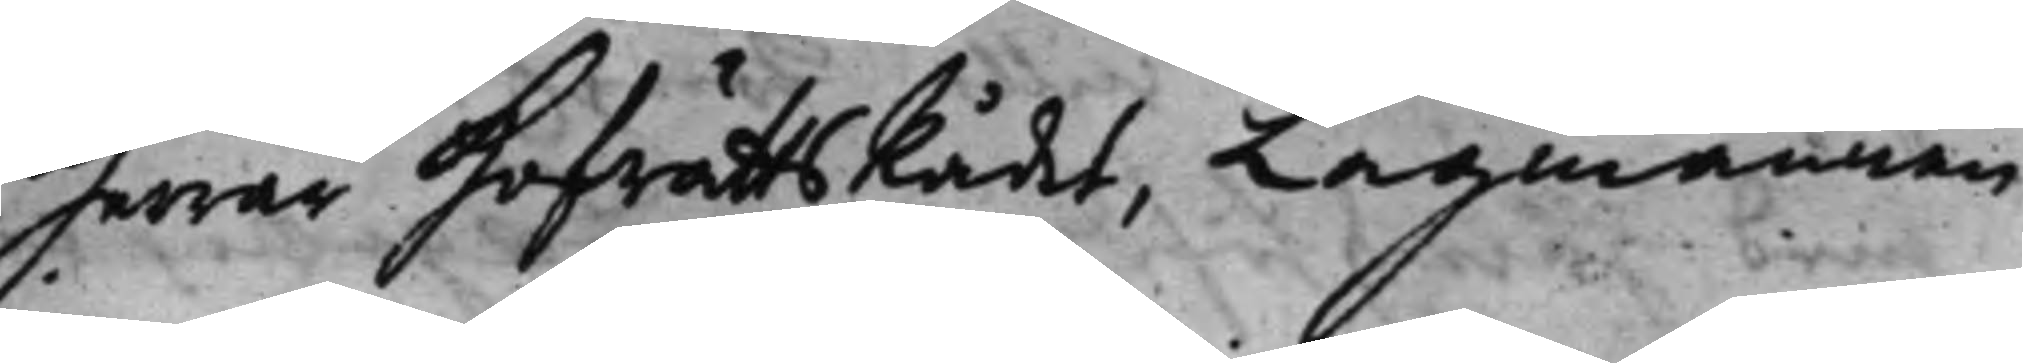Herrar HofrättsRådet, Lagmannen
